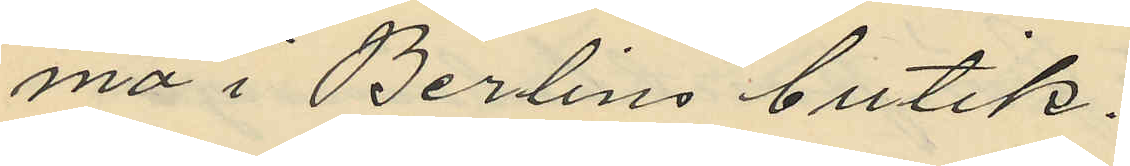ma i Berlins butik.
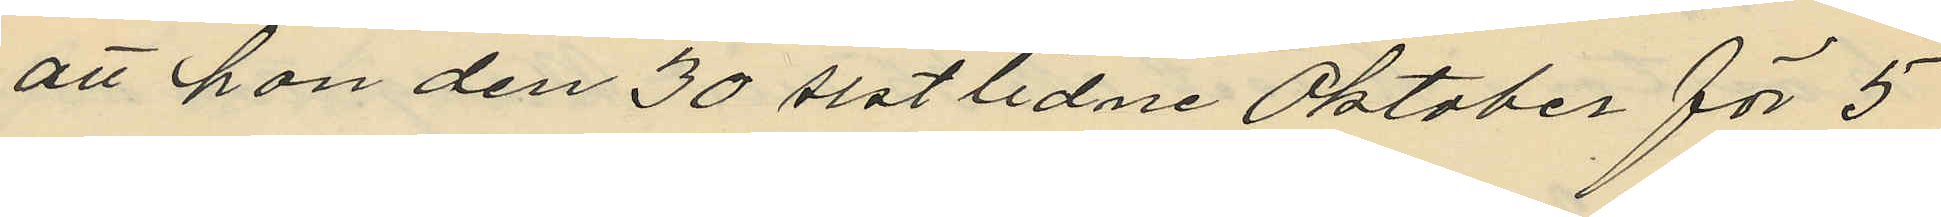att hon den 30 sistlidne Oktober för 5
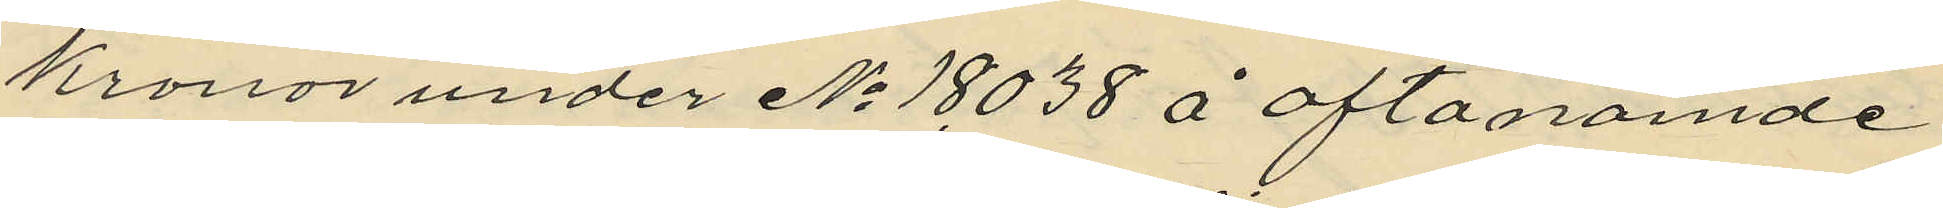kronor under No 18038 å oftanämde
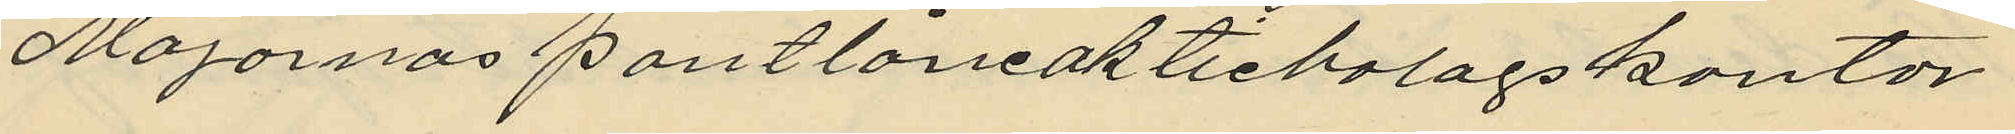Majornas pantlåneaktiebolagskontor
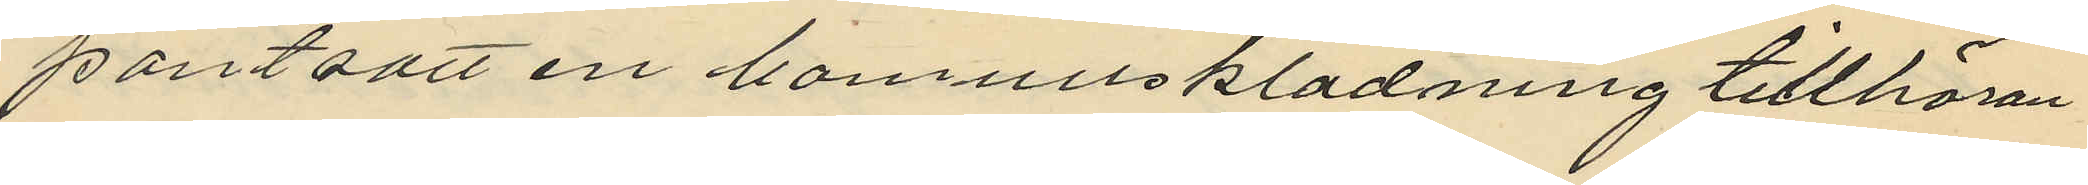pantsatt en bomullsklädning tillhöran¬
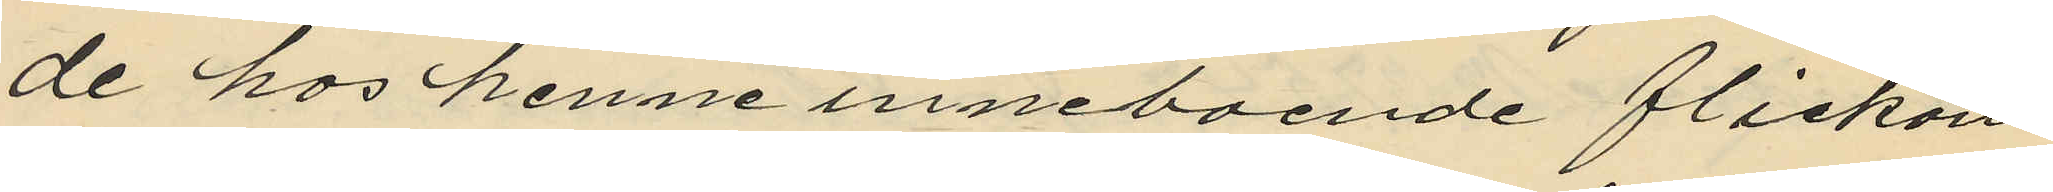de hos henne inneboende flickan
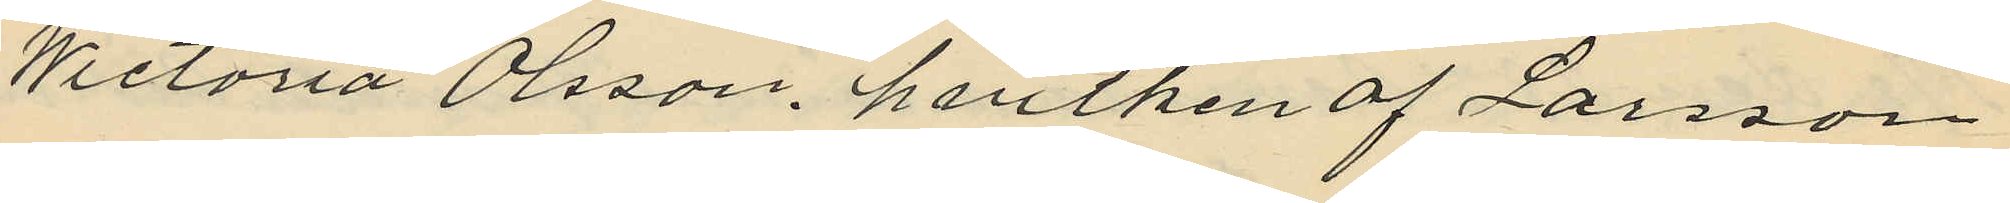Wictoria Olsson, hvilken af Larsson
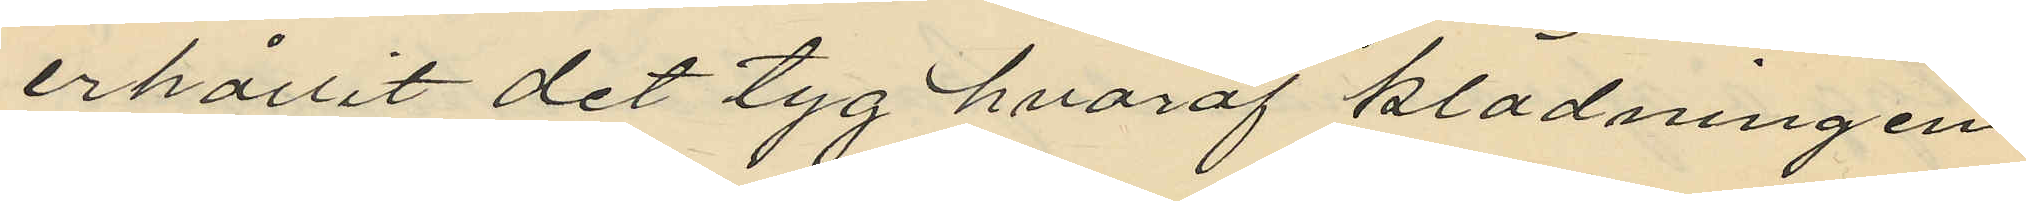erhållit det tyg hvaraf klädningen
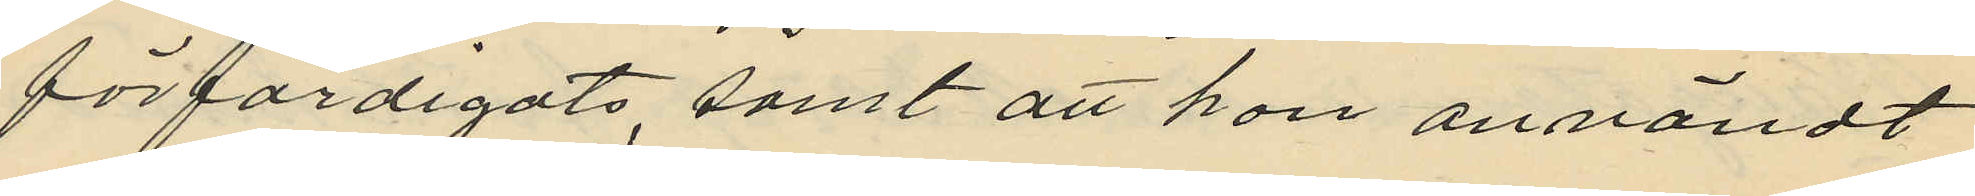förfärdigats, samt att hon användt
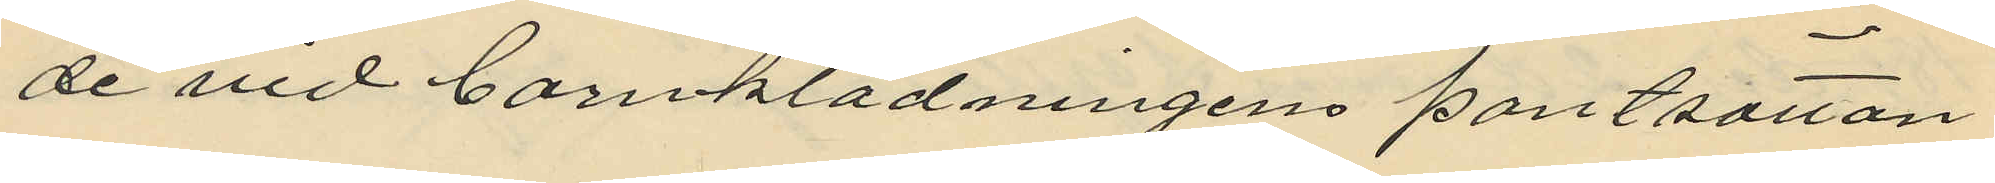de vid bonklädningens pantsattan
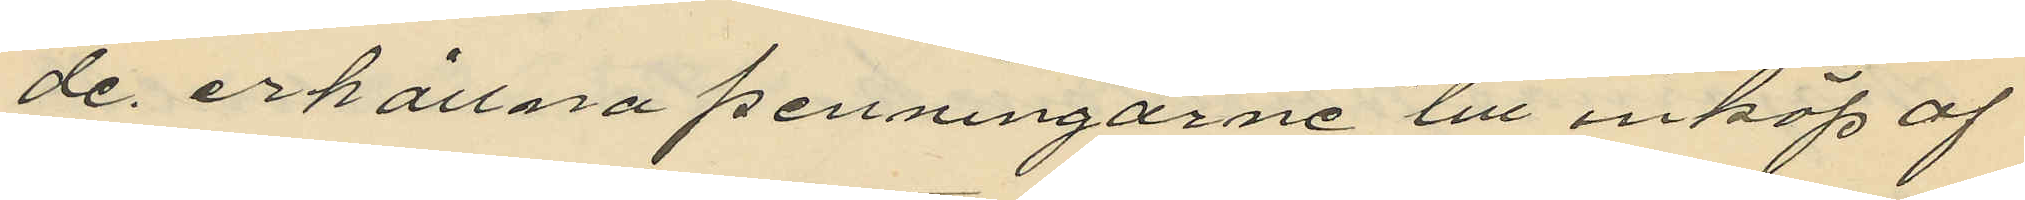de erhållna penningarne till inköp af
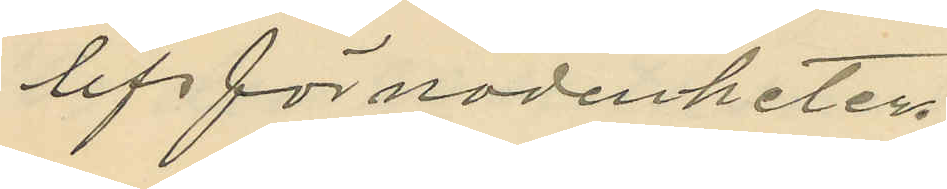lifsförnödenheter
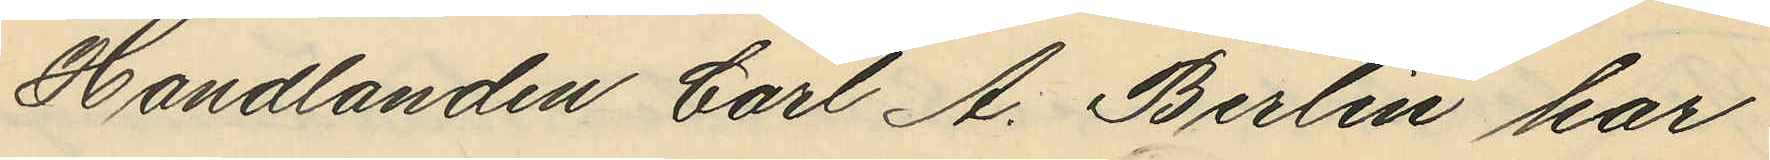Handlanden Carl A. Berlin har
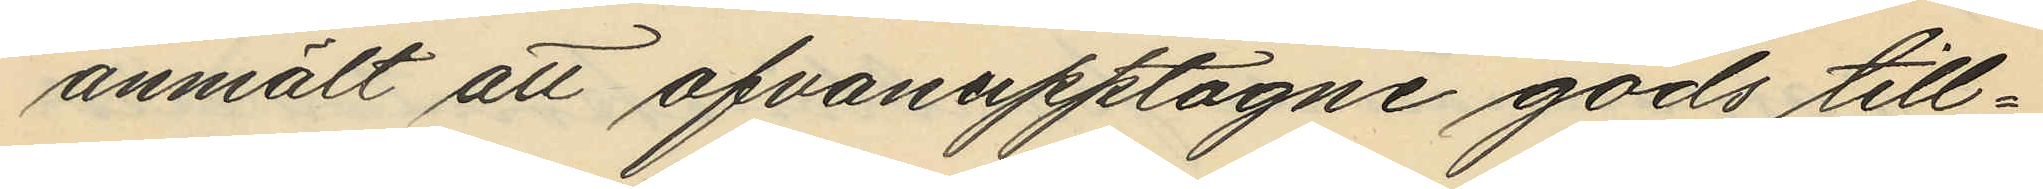anmält att ofvanupptagne gods till¬
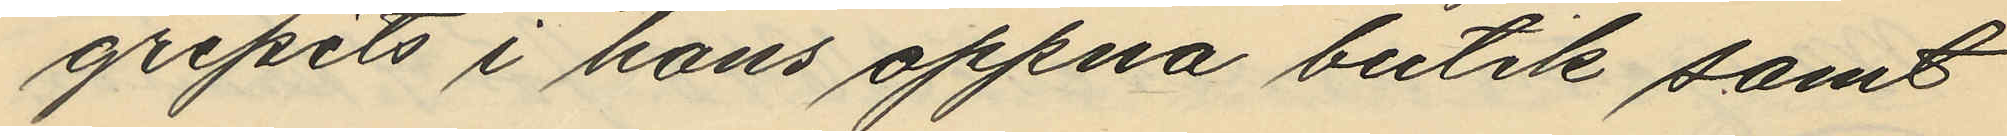gripits i hans öppna butik samt
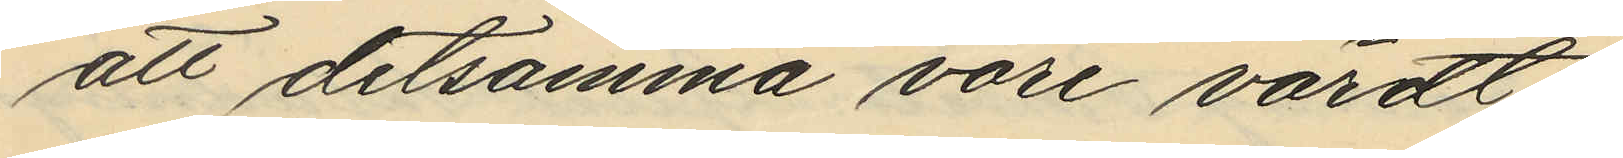att detsamma vore värdt
